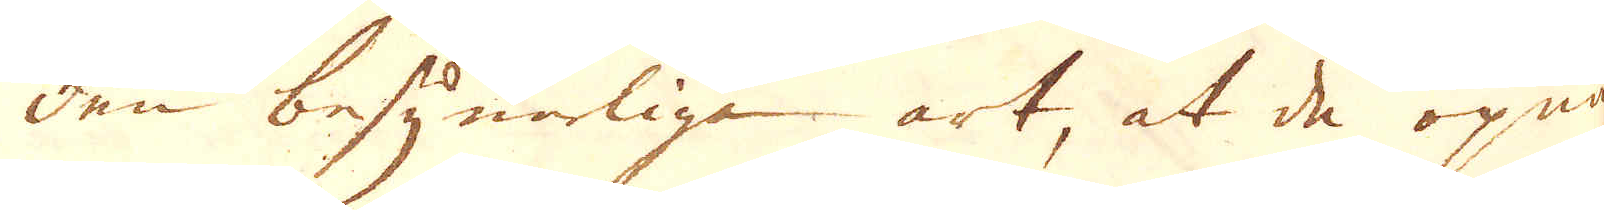den besynelige art, at de öpna
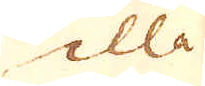illa
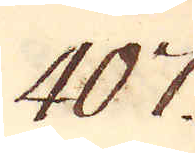407.
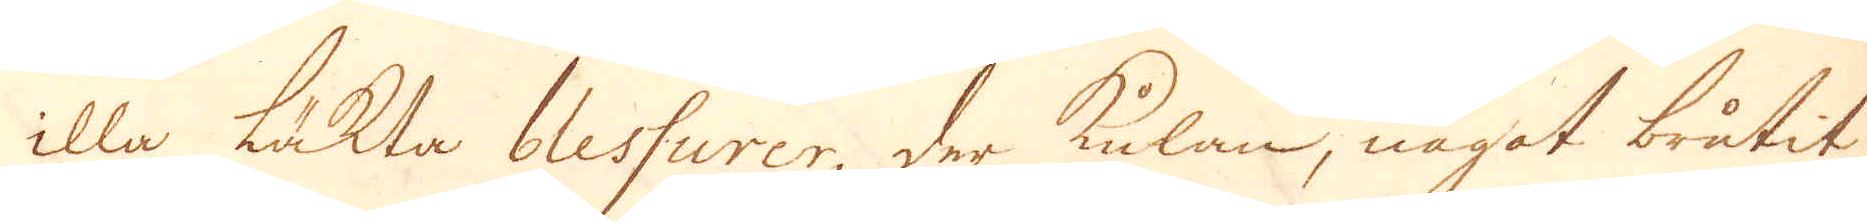illa täkta blessurer, der kulan, något brutit
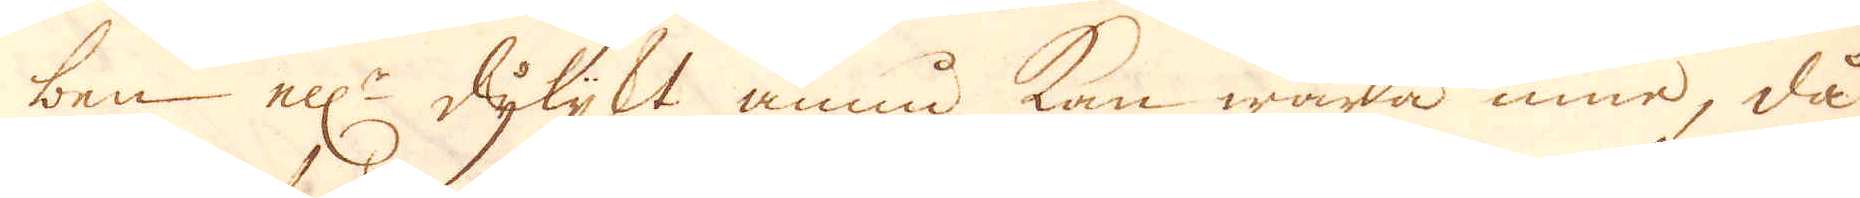ben ell:r dylykt ännu kan wara inne, då
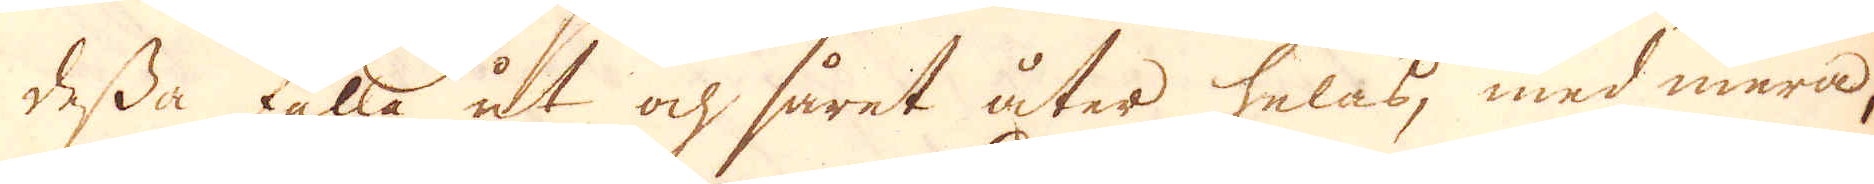dessa falla ut och såret åter helas, med mera,
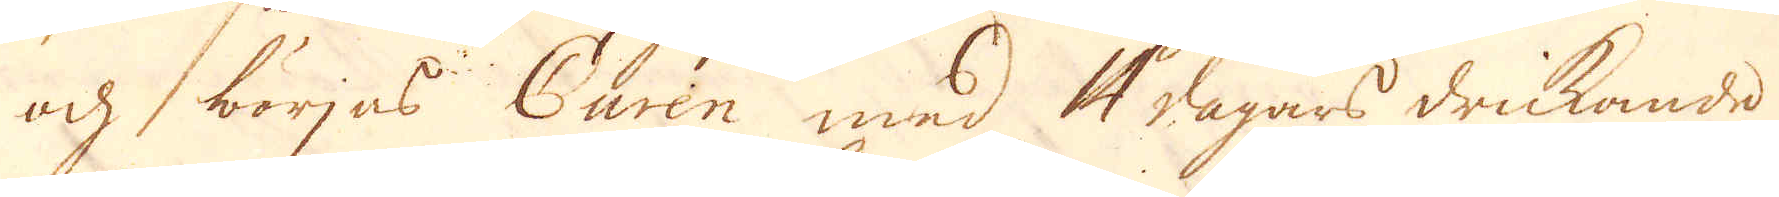och börjas Curen med 4 dagars drickande
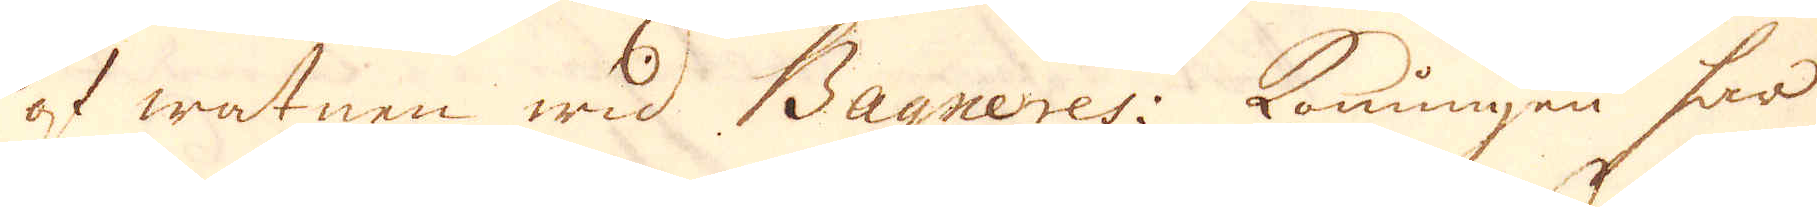af watnen wid Bagneres: Konungen har
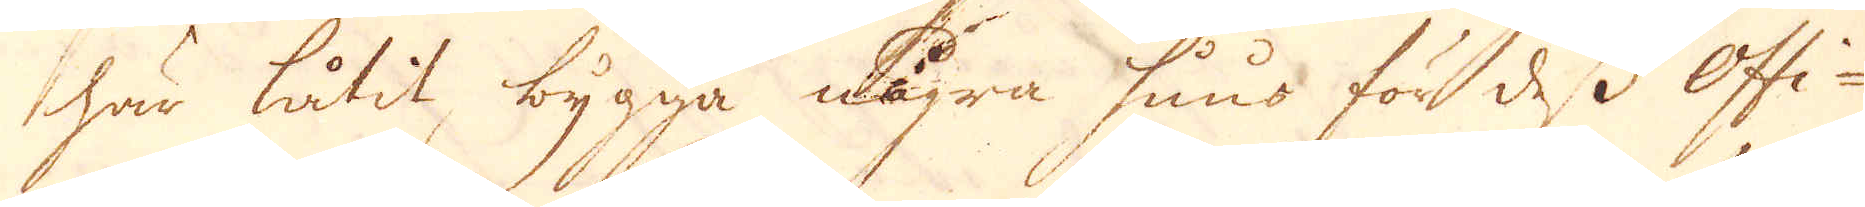här låtit bygga några huus för dess Offi-
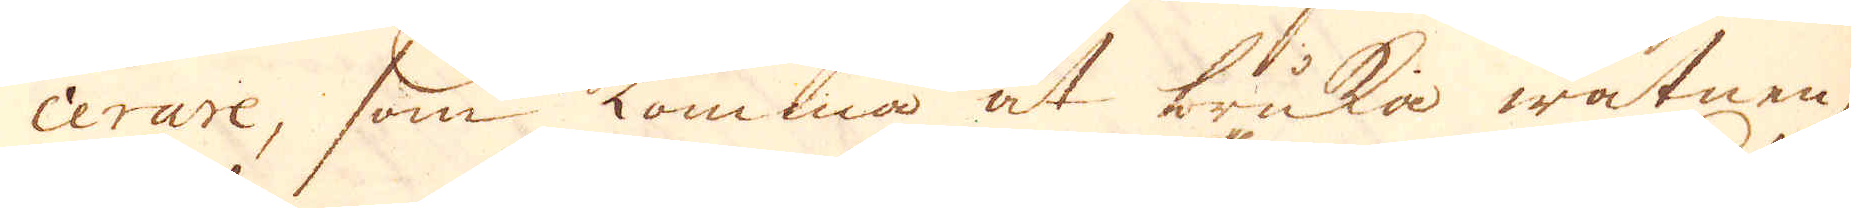cerare, som komma at bruka watnen,
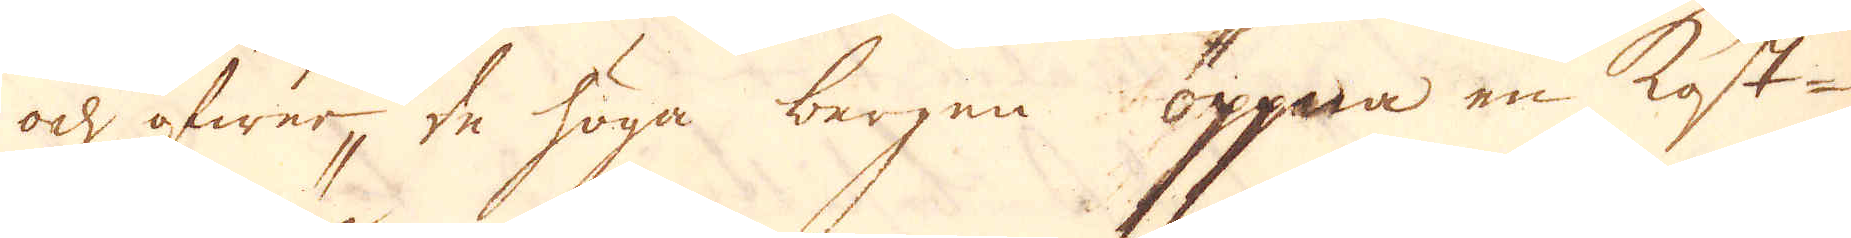och öfwer de höga bergen öppna en kost-
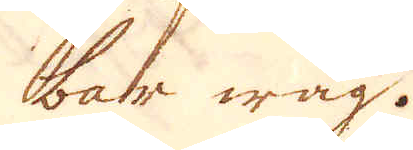bar wäg.
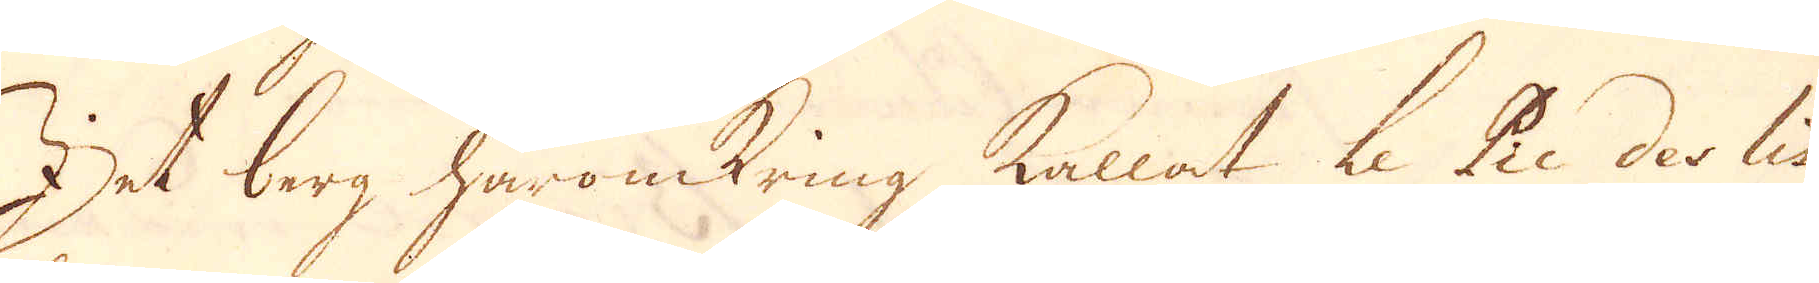Det berg häromkring kallat Le Pic des lis
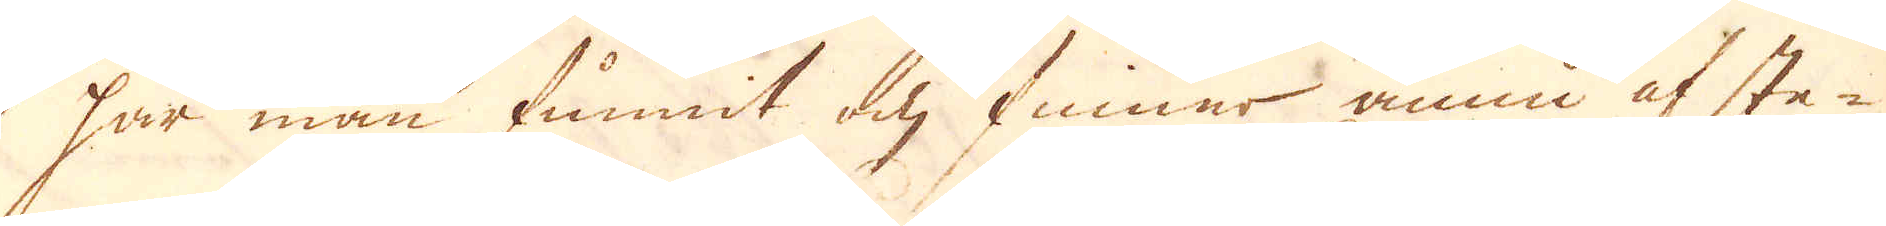har man funnit och finnar ännu af ste-
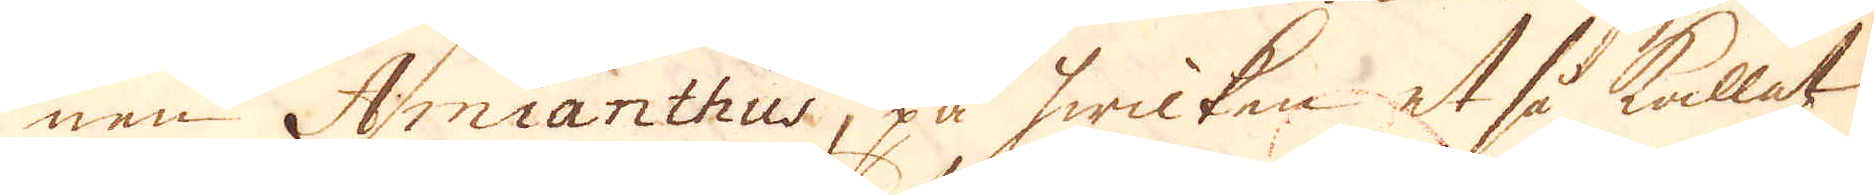nen Amianthus, på hwilken et så kallat
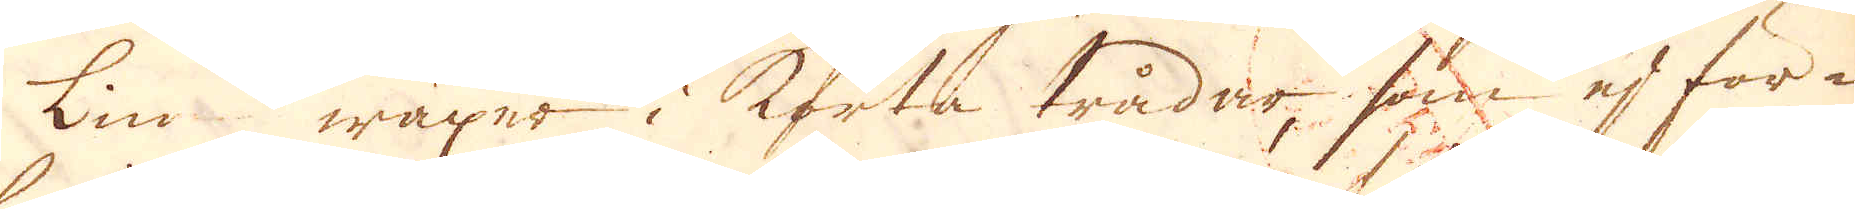Lin wäxer i korta trådar som ej för-
